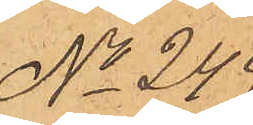No 249.
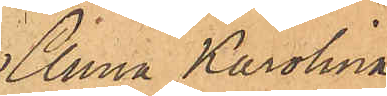Anna Karolina
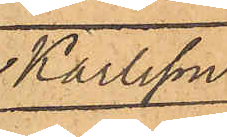Karlsson.
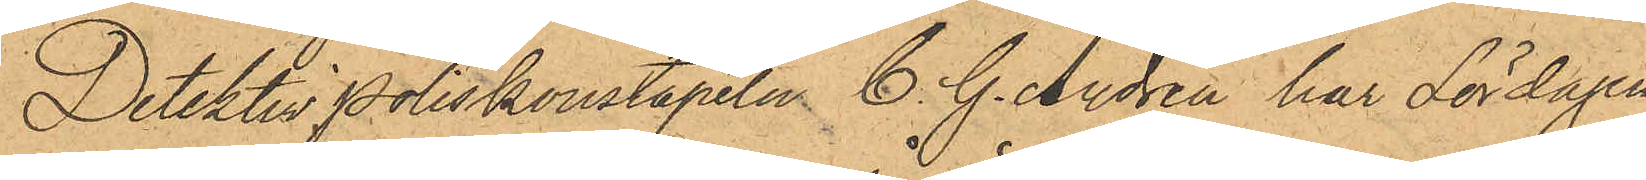DetektivPoliskonstapeln C. G. Andrén har Lördagen
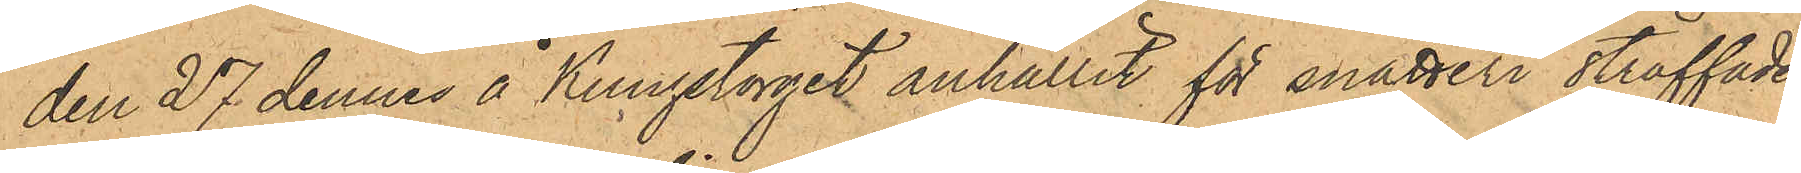den 27 dennes å Kungstorget anhållit för snatteri straffade
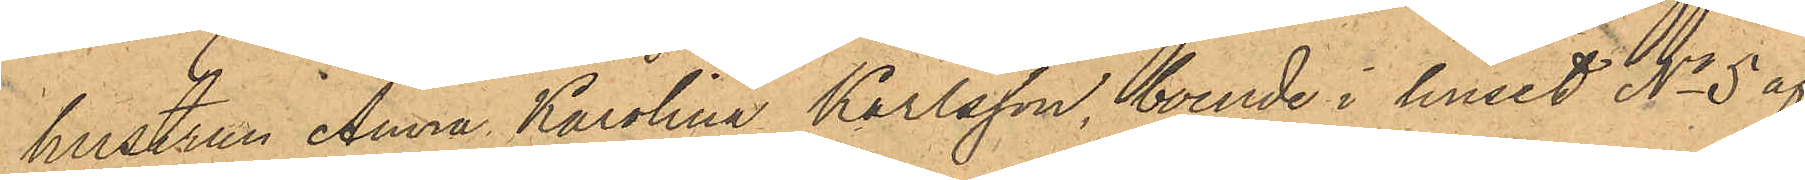hustrun Anna Karolina Karlsson, boende i huset No 5 af
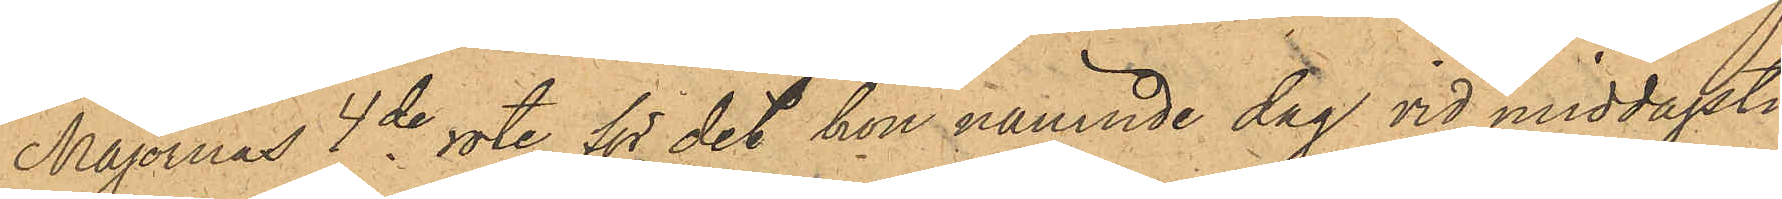Majornas 4de rote, för det hon nämnde dag vid middagsti¬
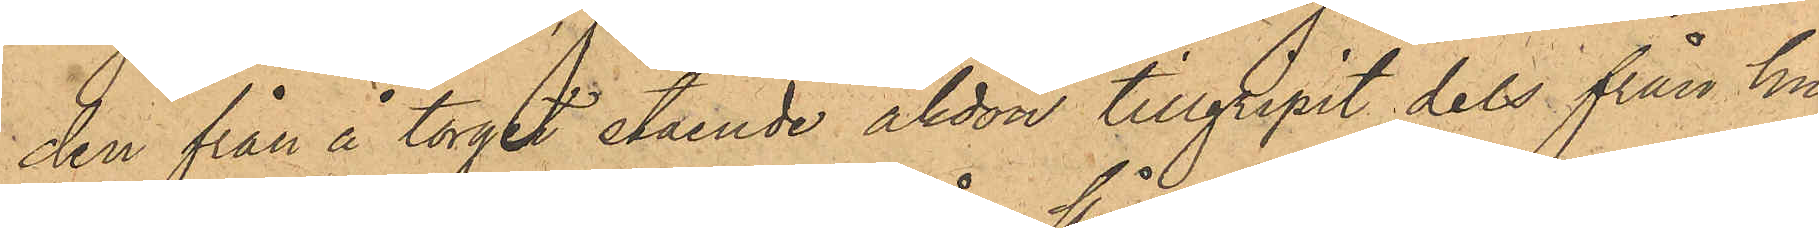den från å torget stående åkdon tillgripit dels från hu¬
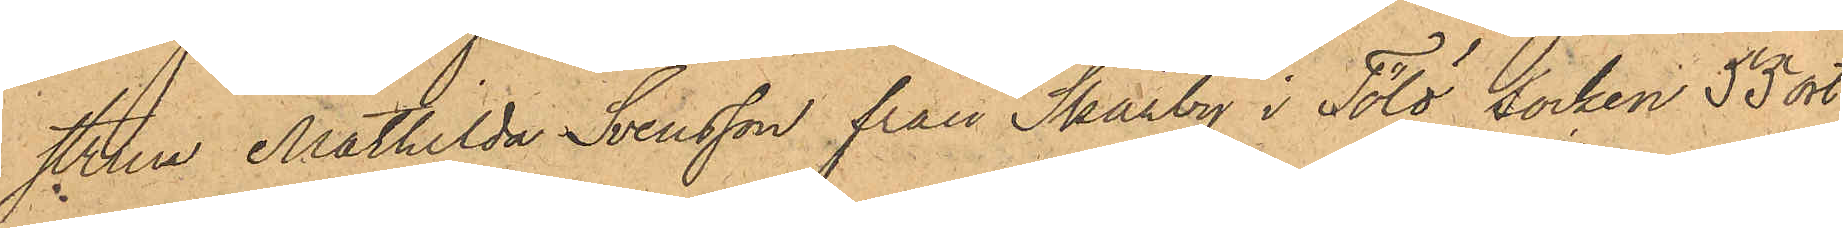strun Mathilda Svensson från Skårby i Tölö Socken 53 ort
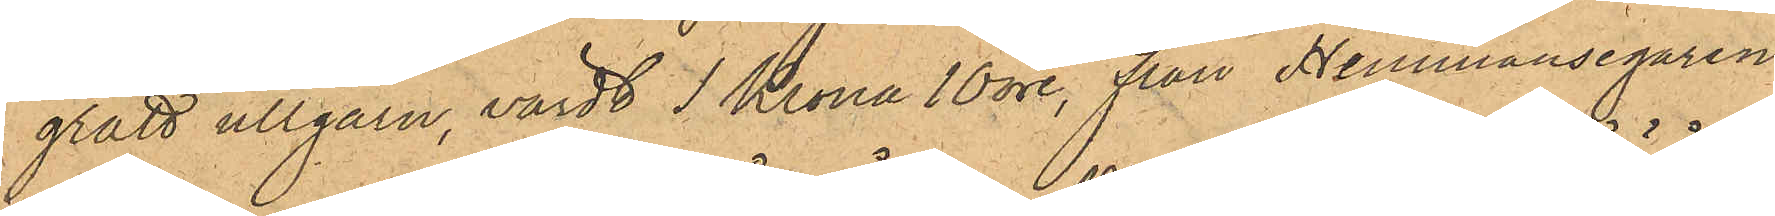grått ullgarn, värdt 1 Krona 10 öre, från Hemmansegaren
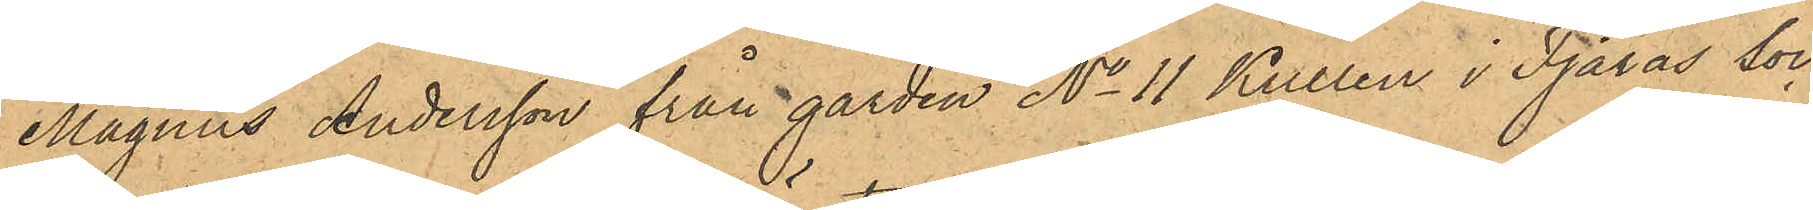Magnus Andersson från gården No 11 Kullen i Fjärås Soc¬
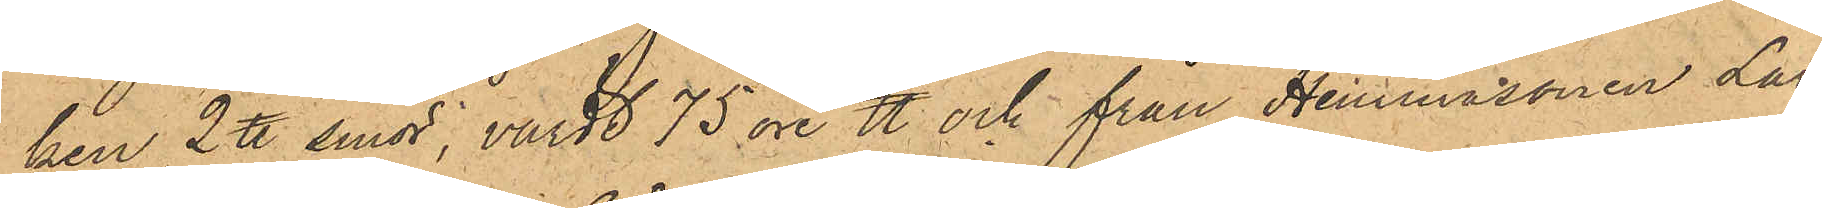ken 2 ℔ smör, värdt 75 öre ℔ och från Hemmasonen Lars
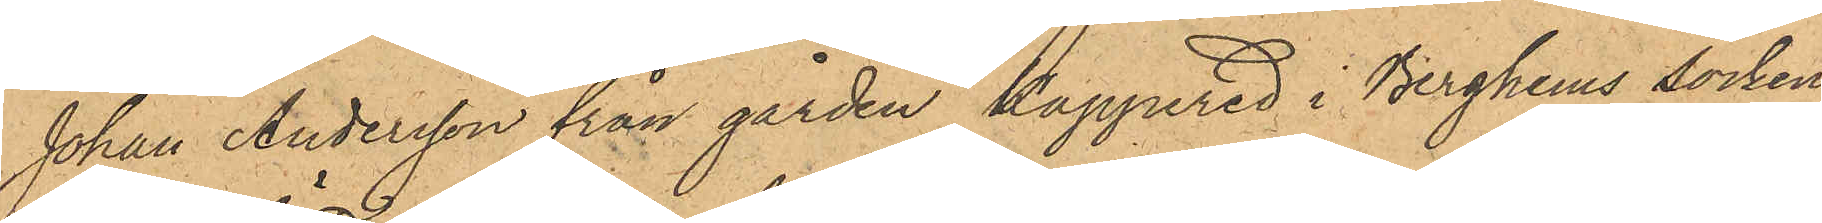Johan Andersson från gården Kappered i Berghems socken
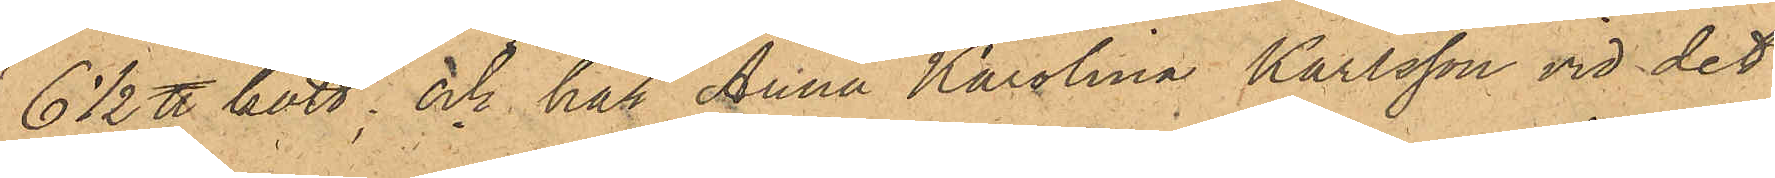6 1/2 ℔ kött; och har Anna Karolina Karlsson vid det
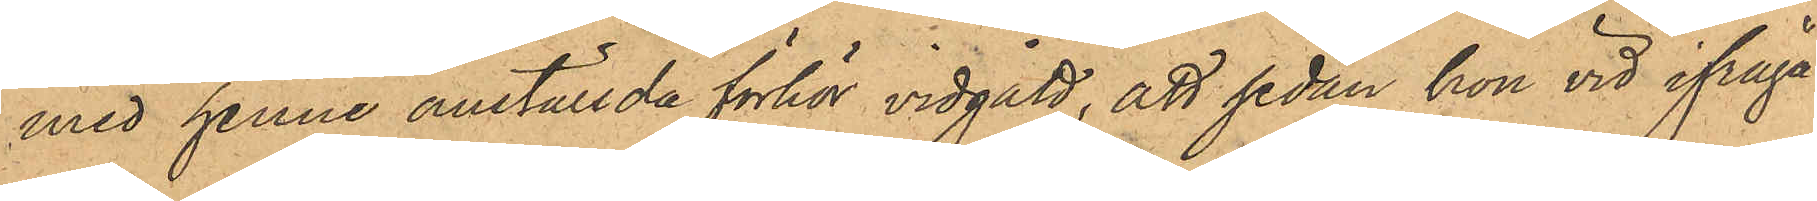med henne anställda förhör vidgått, att sedan hon vid ifråga¬
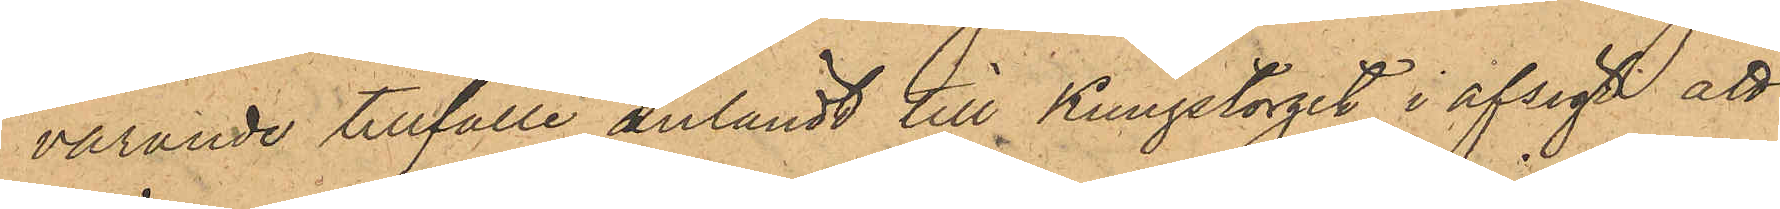varande tillfälle anländt till Kungstorget i afsigt att
